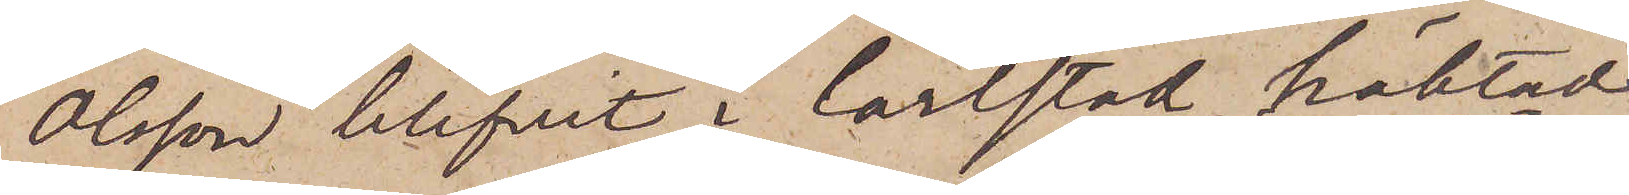Olsson blifvit i Carlstad häktad
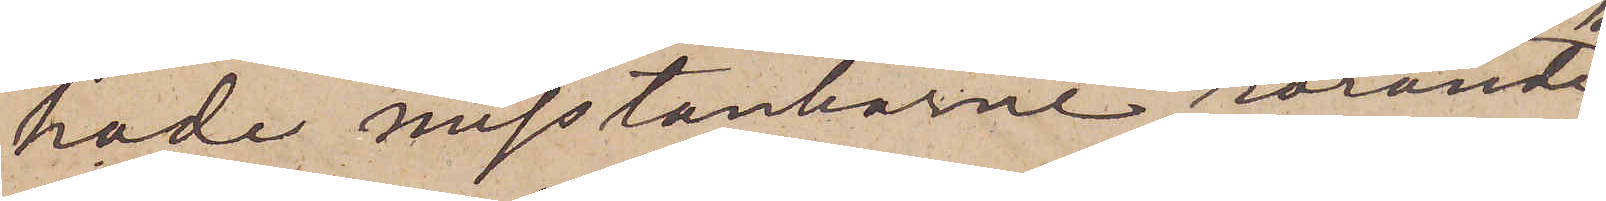hade misstankarne rörande
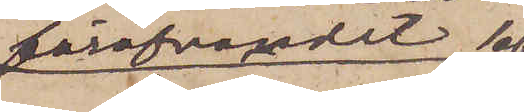föröfvandet af
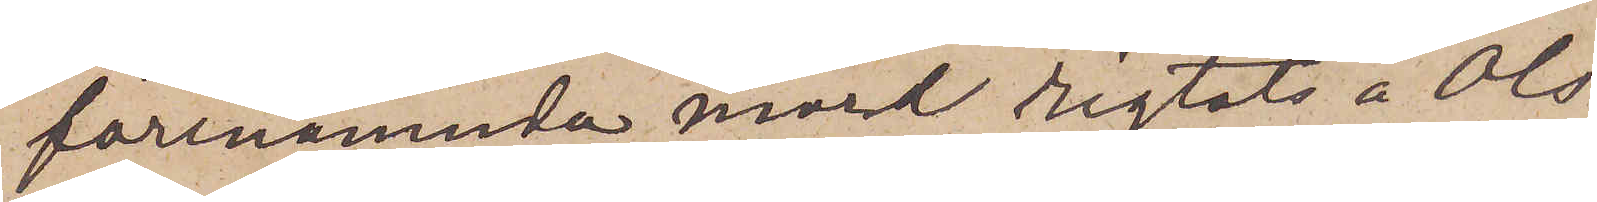förenämnda mord rigtats å Ols¬
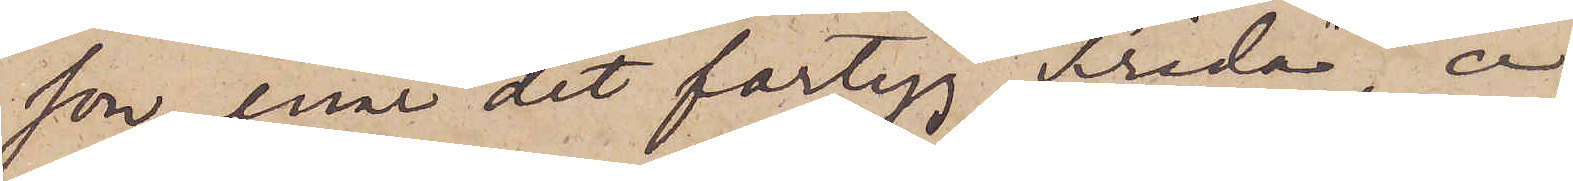son, enär det fartyg "Frida", å
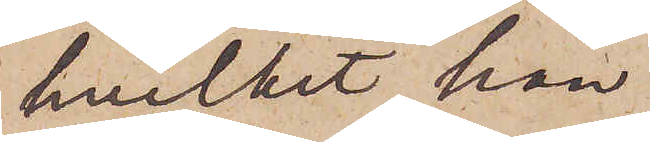hvilket han
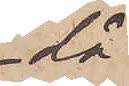då
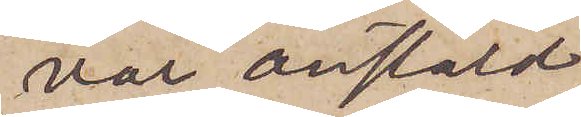var anstäld,
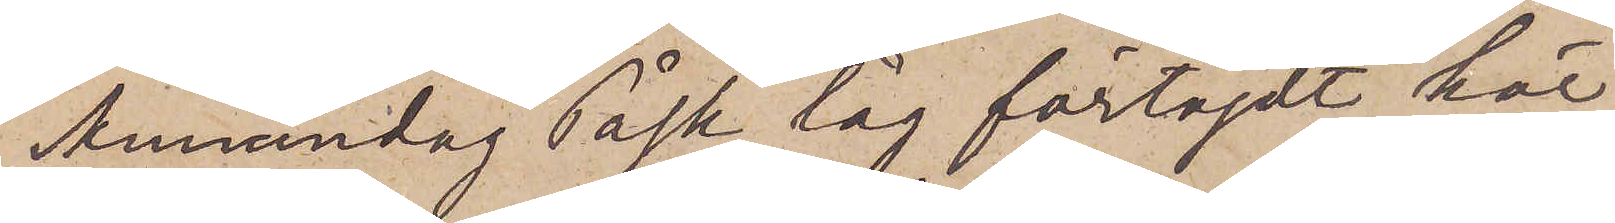Annandag Påsk låg förtöjdt här
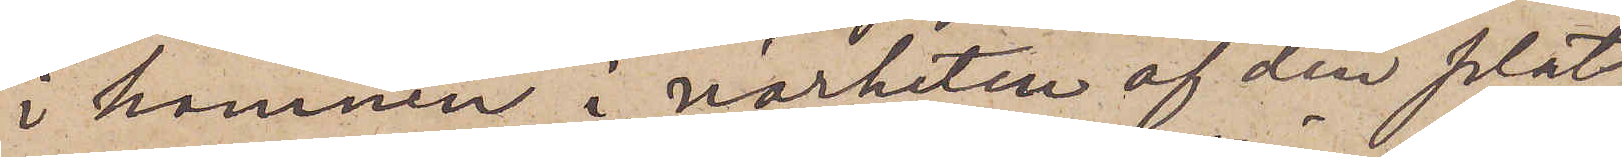i hamnen i närheten af den plats
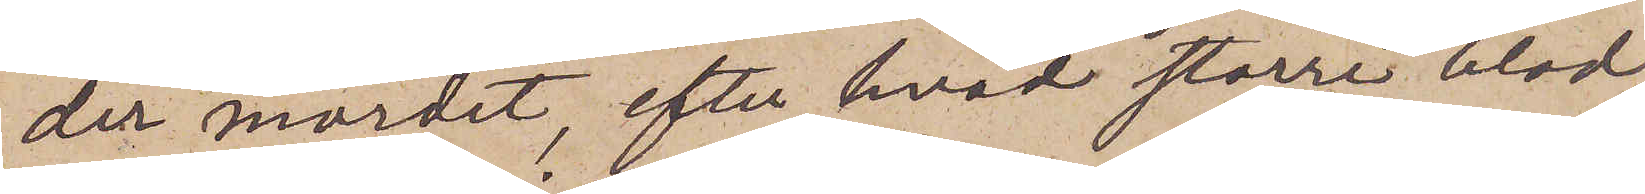der mordet, efter hvad större blod¬
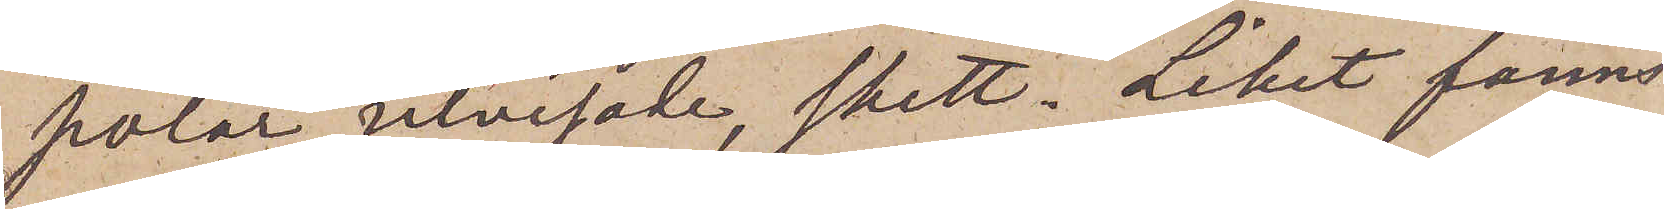pölar utvisade, skett. Liket fanns
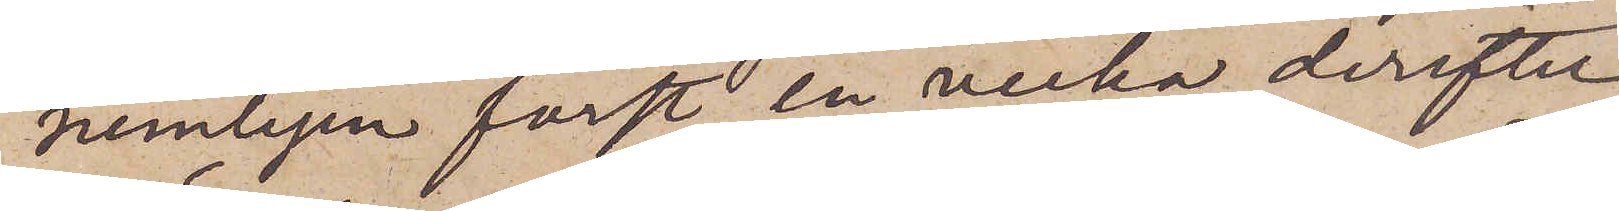nemligen först en vecka derefter
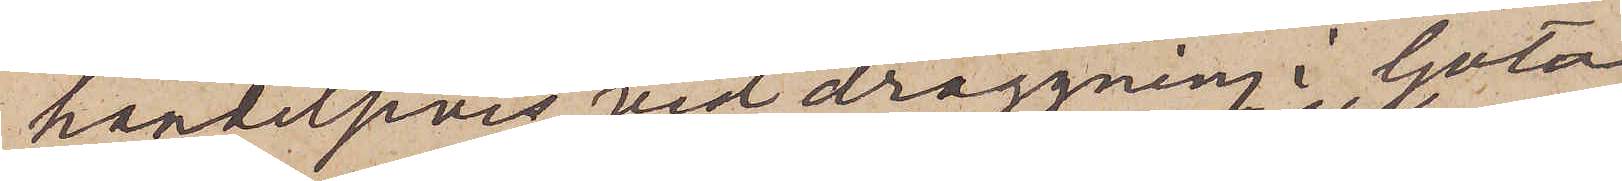händelsevis vid draggning i Göta
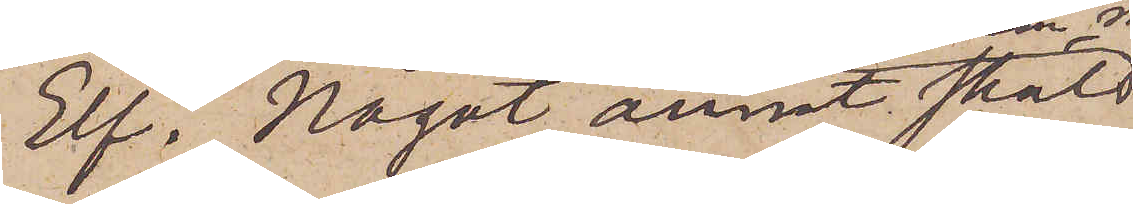Elf. Något annat skäl
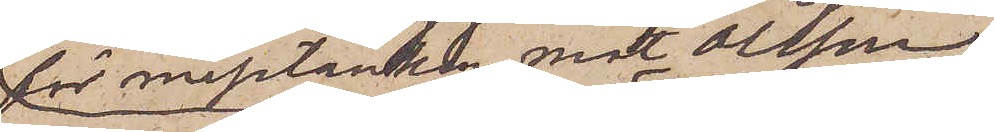för misstanken mot Olsson
